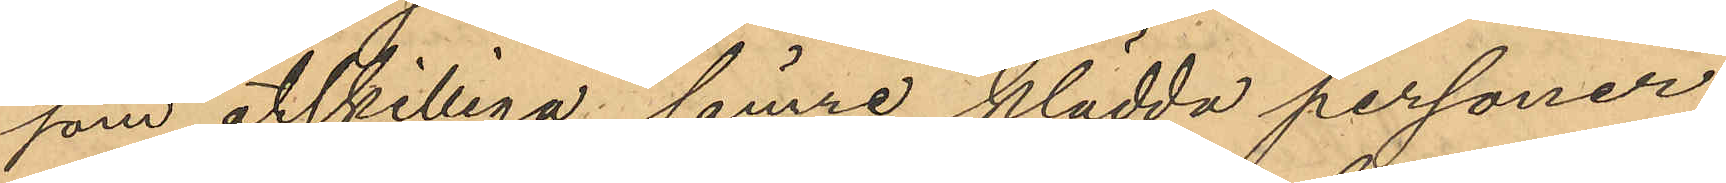som åtskilliga sämre klädda personer
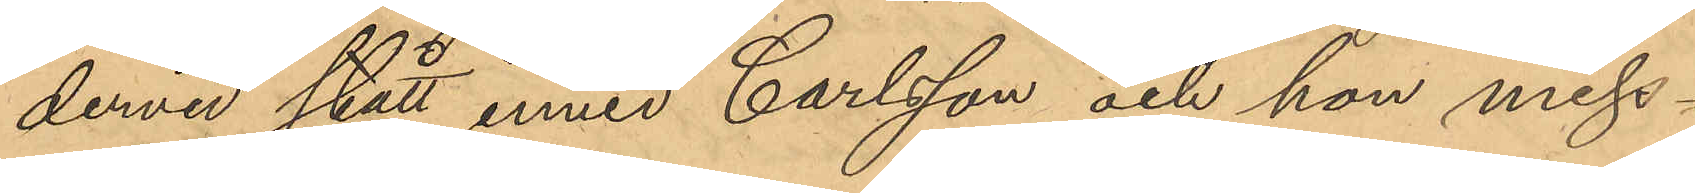dervid stått inwid Carlsson och hon miss¬
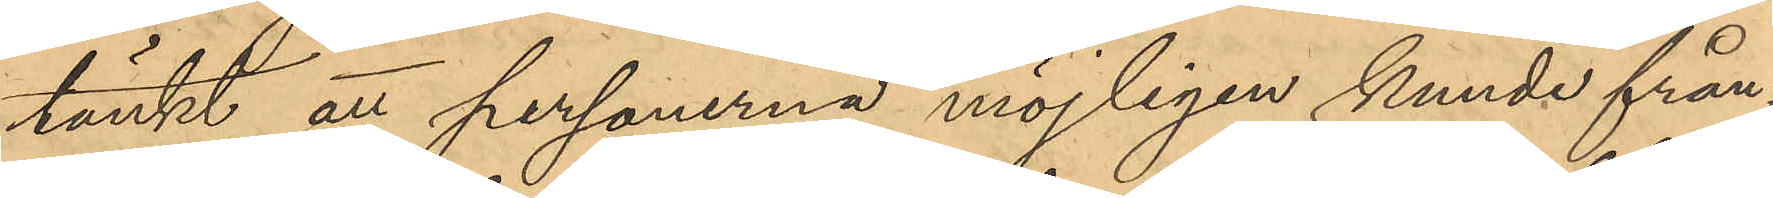tänkt att personerna möjligen kunde från¬
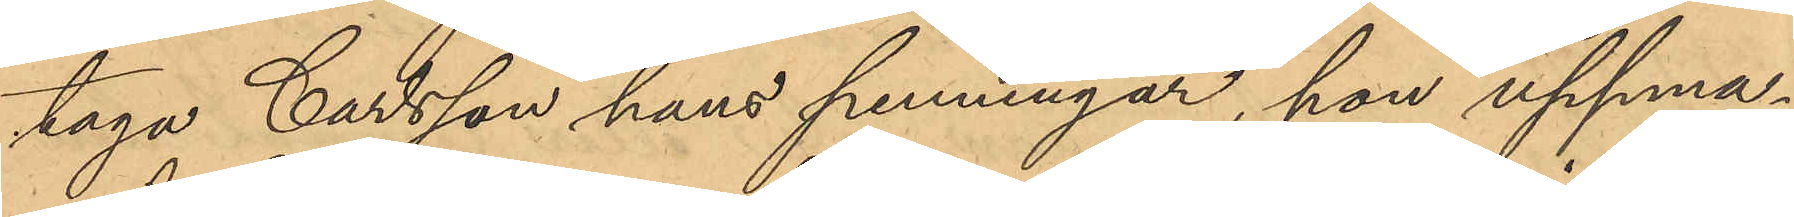taga Carlsson hans penningar, hon uppma¬
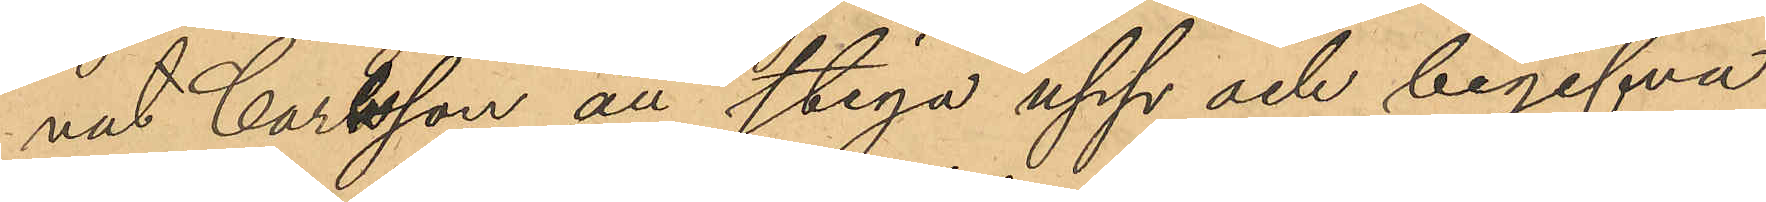nat Carlsson att stiga upp och begifva
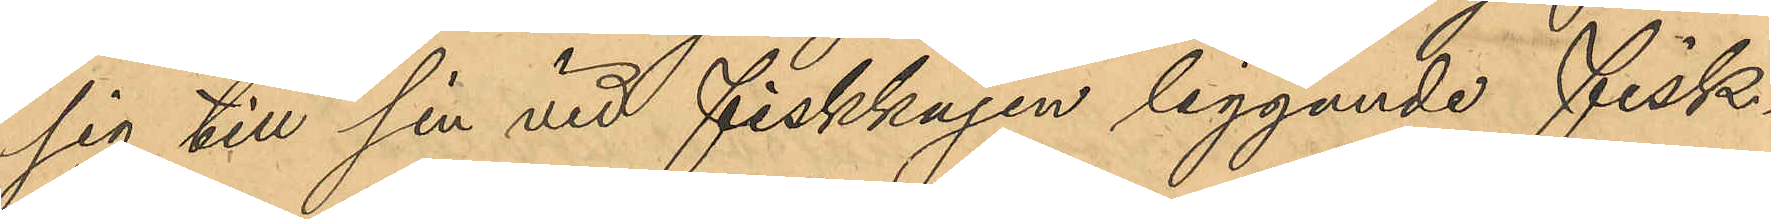sig till sin vid fiskkajen liggande fisk¬
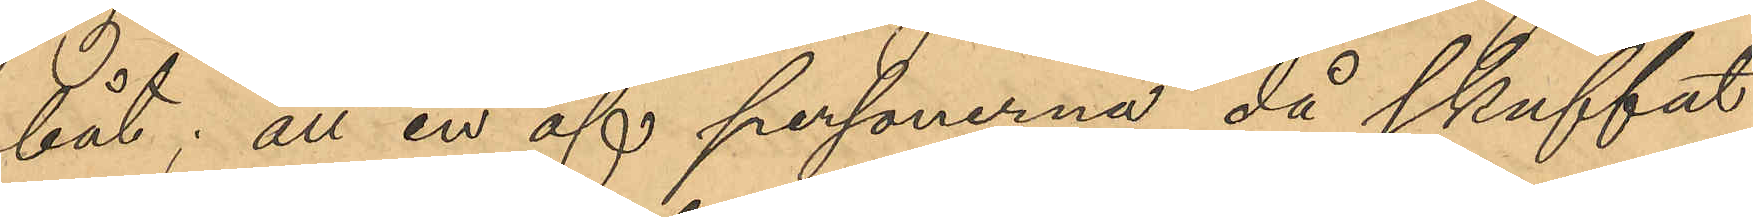båt; att en af personerna då skuffat
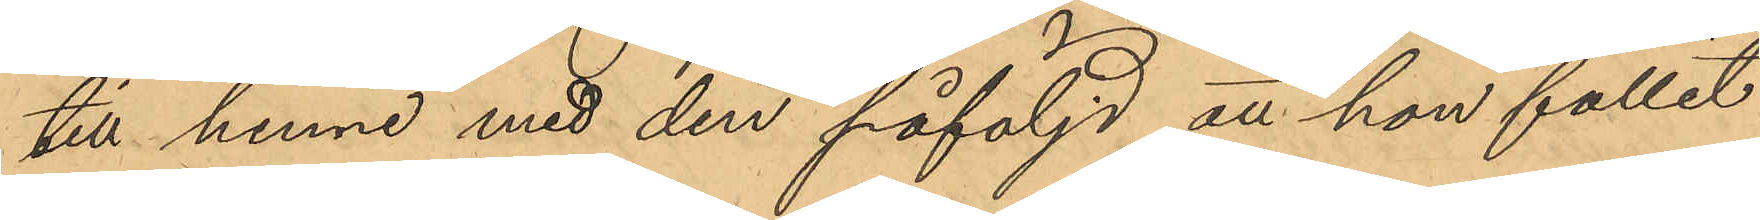till henne med den påföljd att hon fallit
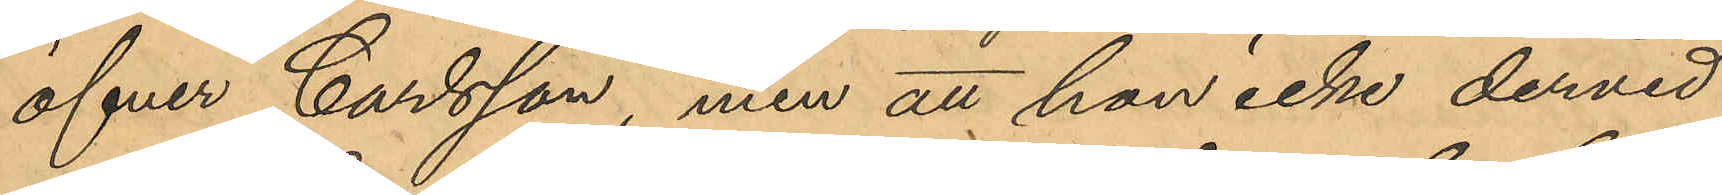öfver Carlsson, men att hon icke dervid
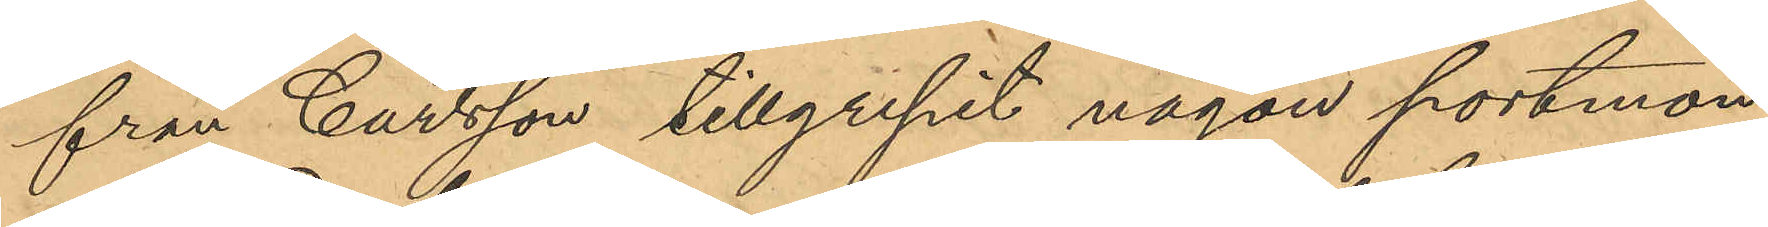från Carlsson tillgripit någon portmon¬
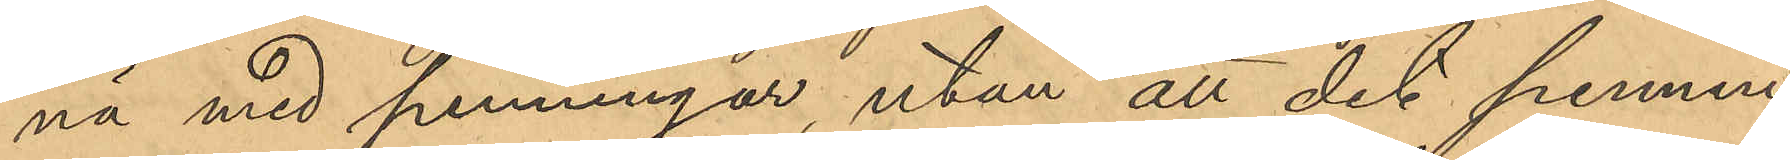nä med penningar, utan att det pennin¬
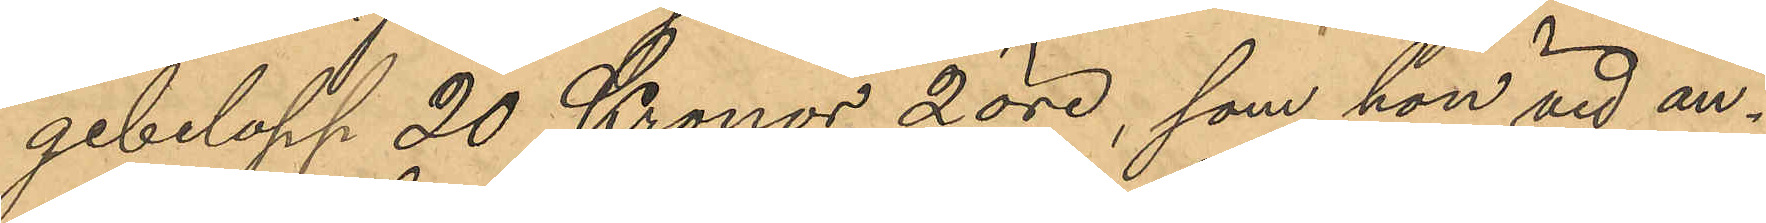gebelopp 20 Kronor 2 öre, som hon vid an¬
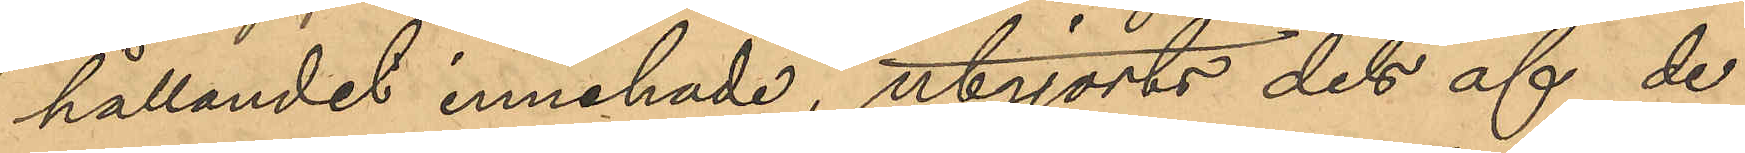hållandet innehade, utgjorts dels af de
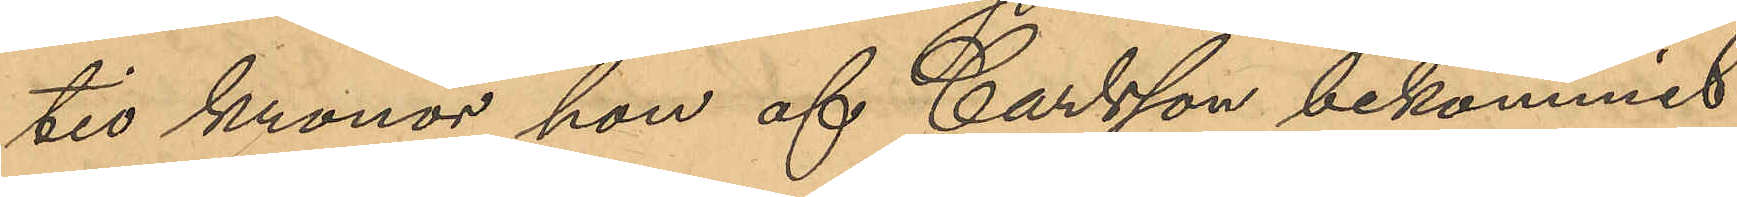tio kronor hon af Carlsson bekommit
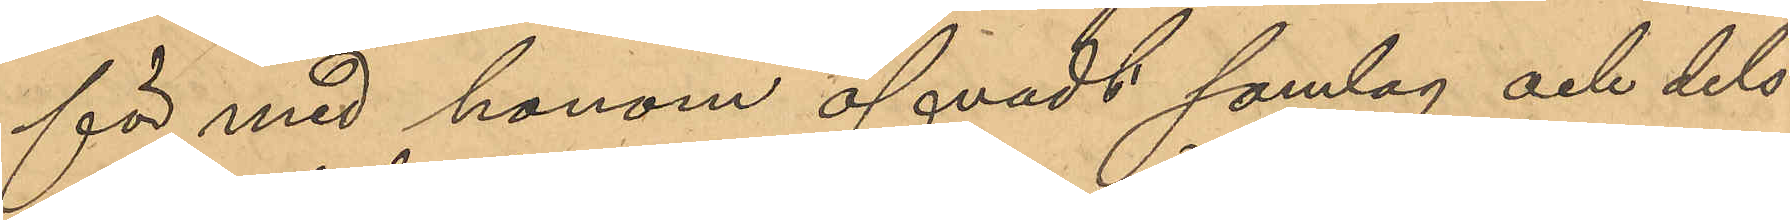för med honom öfvadt samlag och dels
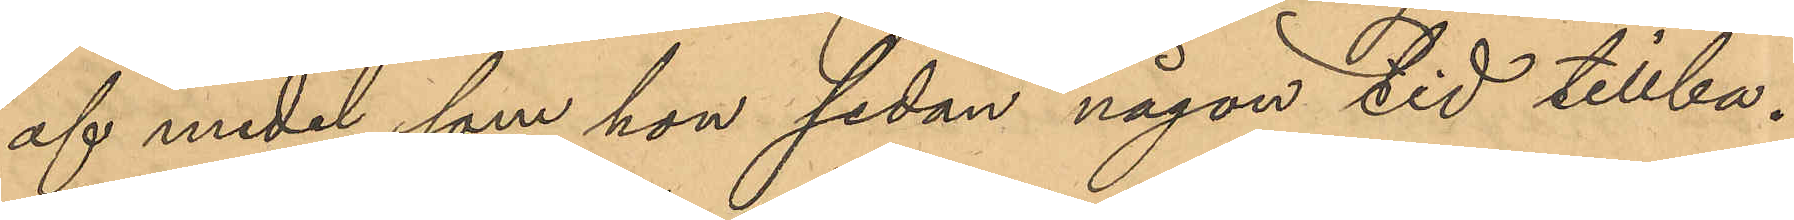af medel som hon sedan någon tid tillba¬
